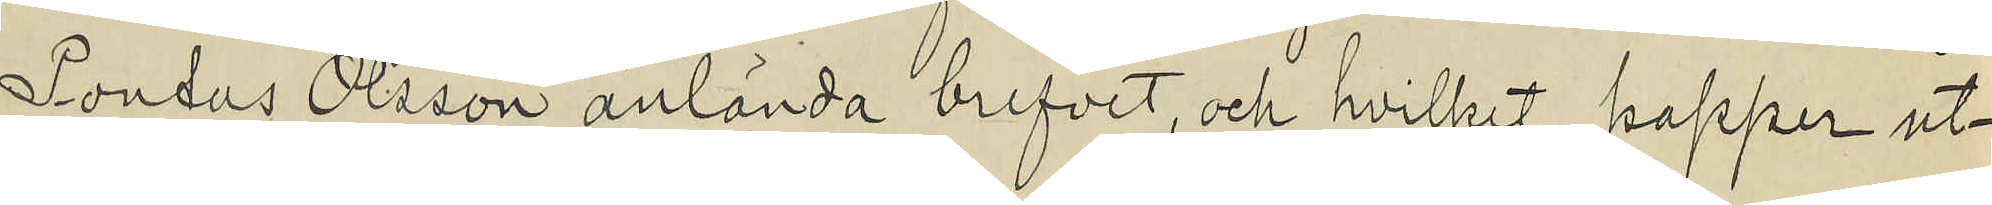Pontus Olsson anlända brefvet, och hvilket papper ut¬
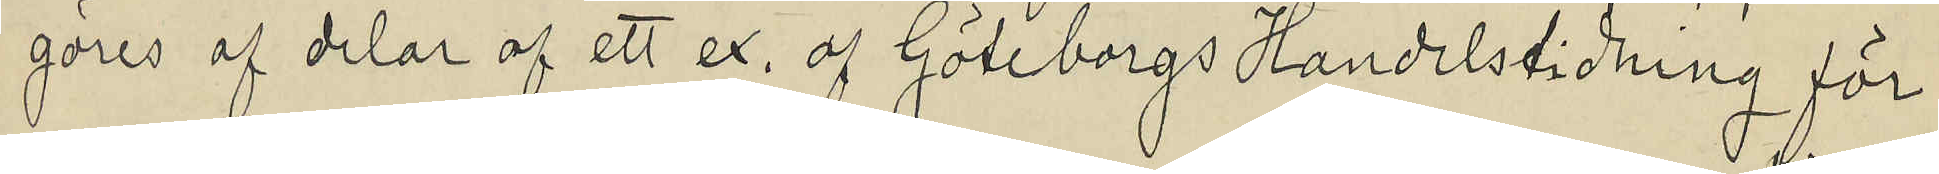göres af delar af ett ex. af Göteborgs Handelstidning för
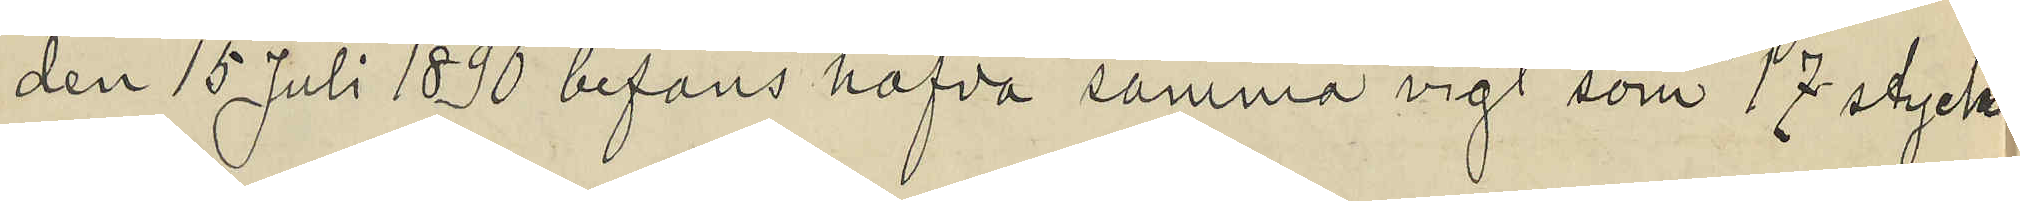den 15 Juli 1890 befans hafva samma vigt som 17 styck
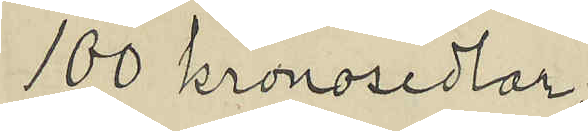100 kronosedlar;
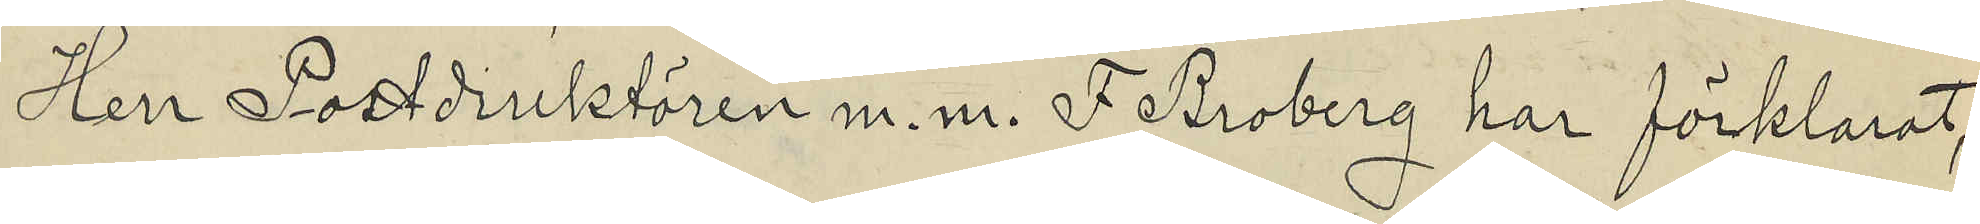Herr Postdirektören m. m. F. Broberg har förklarat,
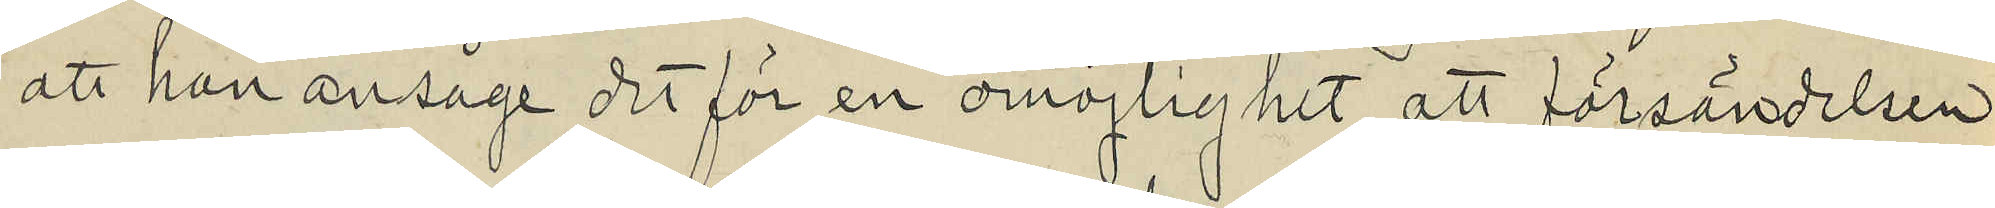att han ansåge det för en omöjlighet att försändelsen
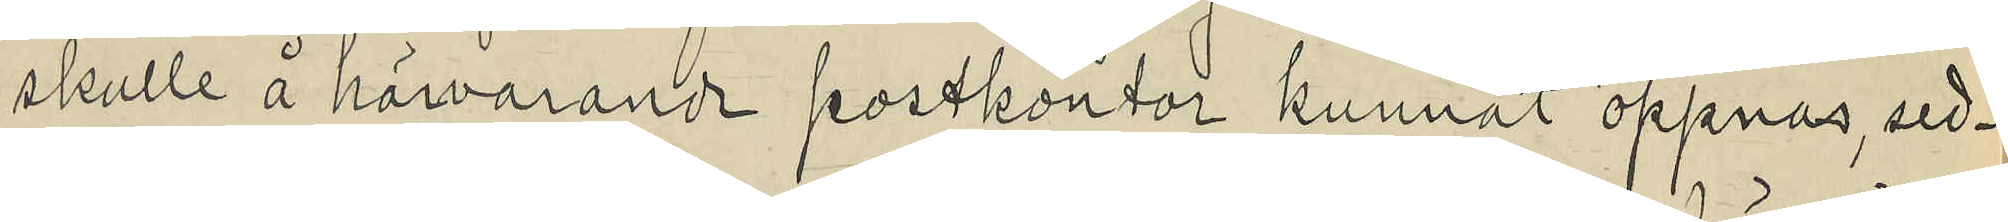skulle å härvarande postkontor kunnat öppnas, sed¬
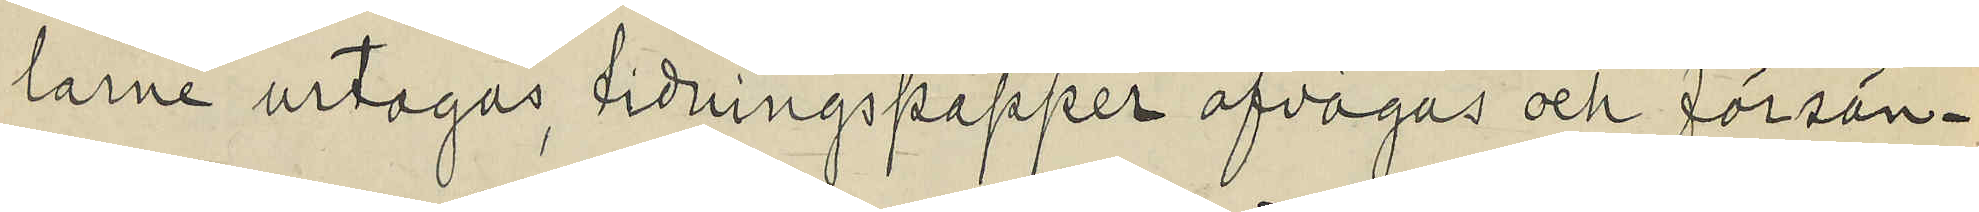larne urtagas, tidningspapper afvägas och försän¬
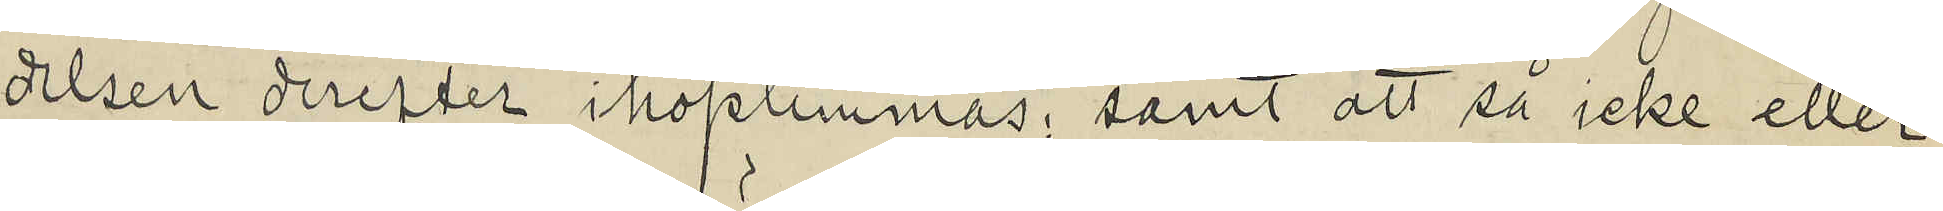delsen derefter ihoplimmas; samt att så icke eller
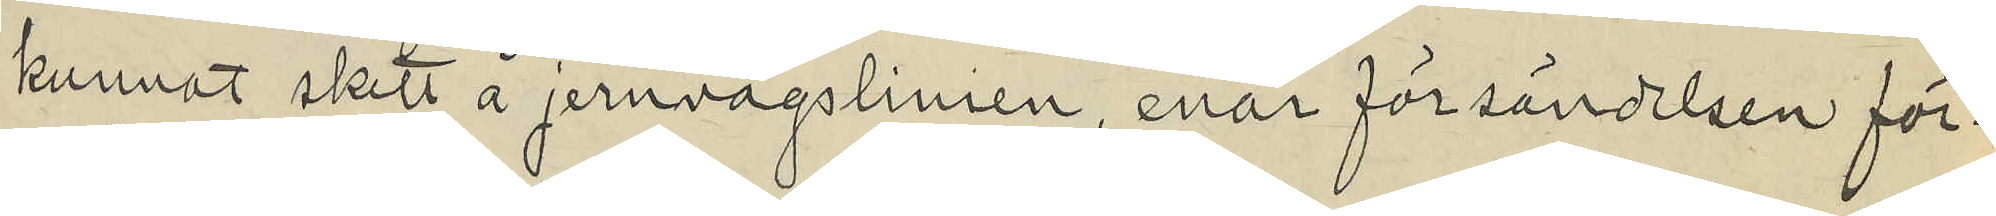kunnat skett å jernvägslinien, enär försändelsen för¬
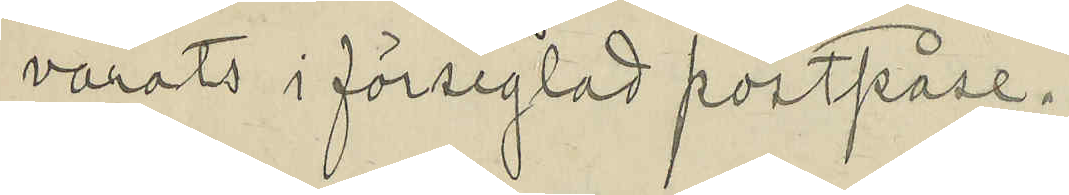varats i förseglad postpåse.
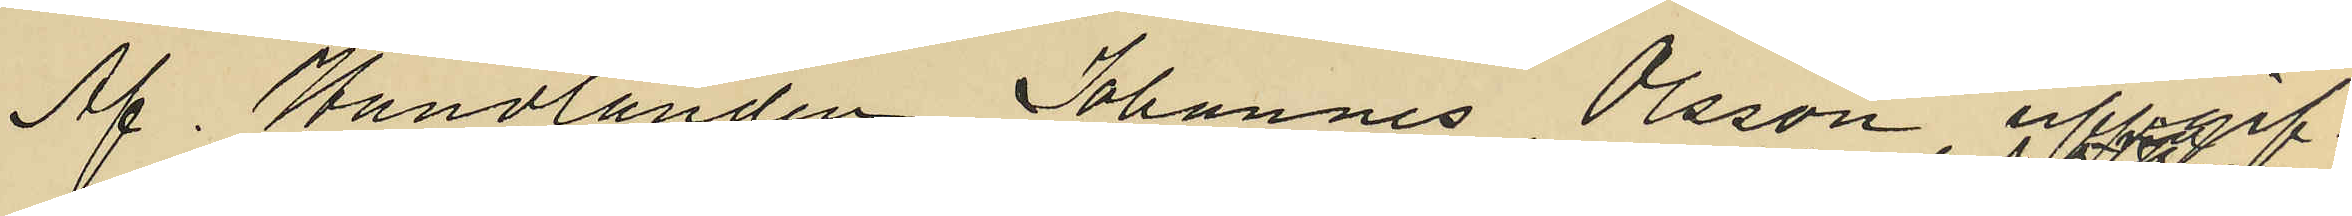Af Handlanden Johannes Olsson uppgif¬
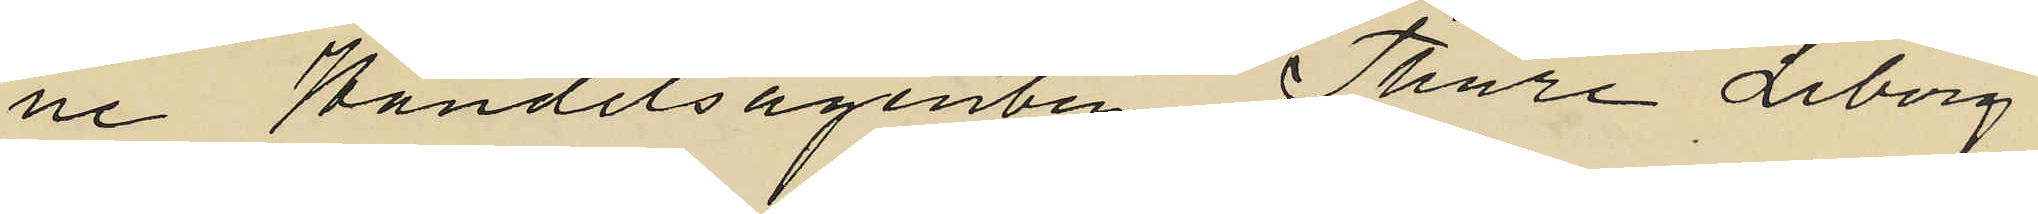ne Handelsagenten Thure Liberg
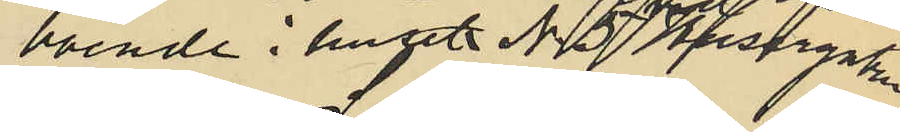boende i huset No 37 Husargatan
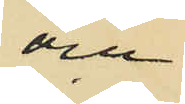och
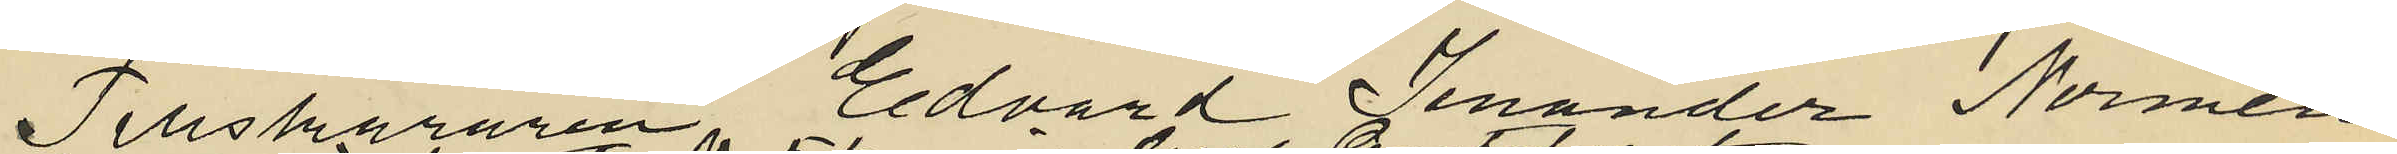Tillskäraren Edvard Jenander Normén
